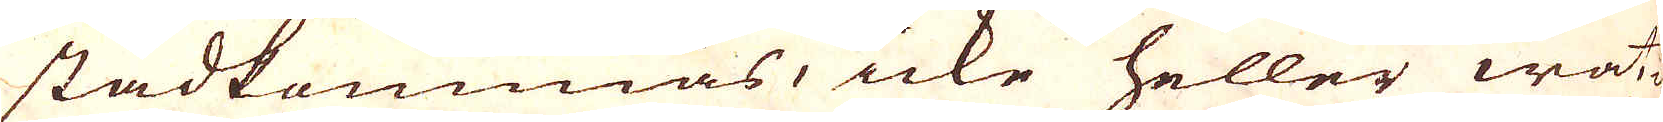stadkommas, icke heller wat-
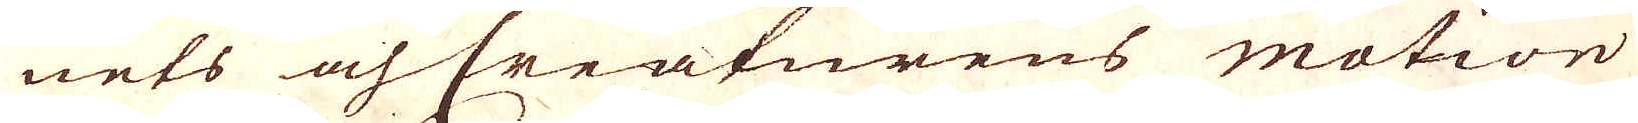nets och Creaturens motion
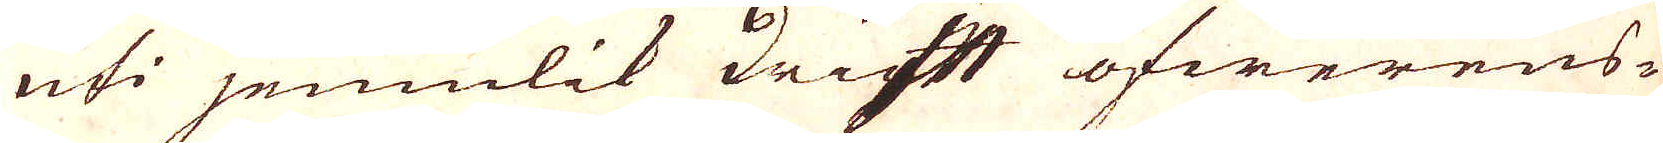uti jemnlik driftt öfwerens-
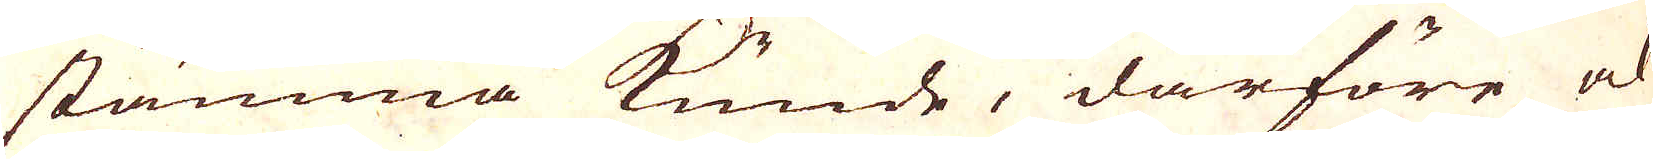stämma kunde, därföre och
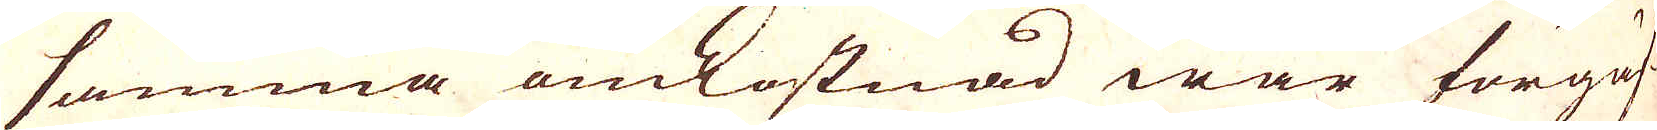samma omkostnad war förgäf-
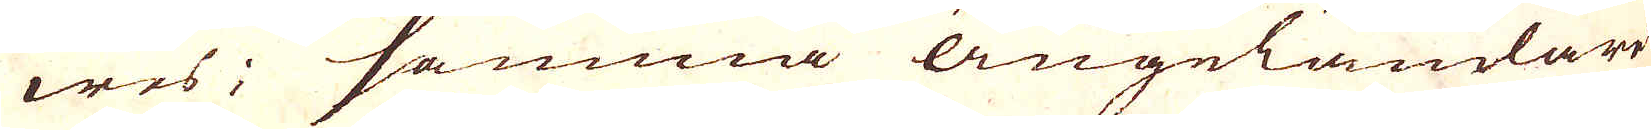wes; samma ängeländare
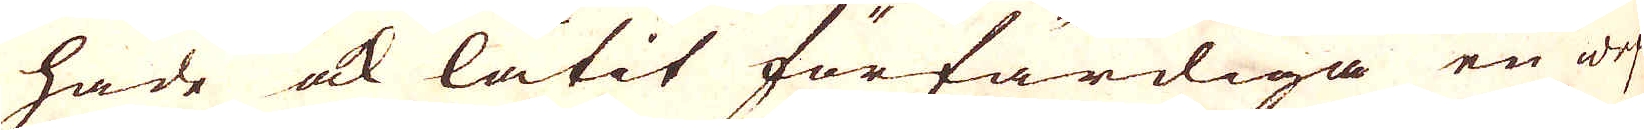hade ock låtit förfärdiga en wef
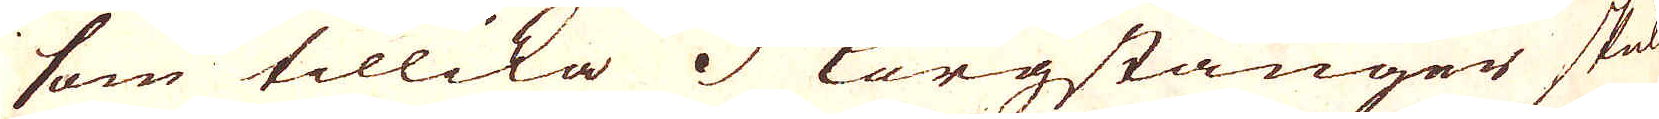som tillika 3 Korgstänger skul-
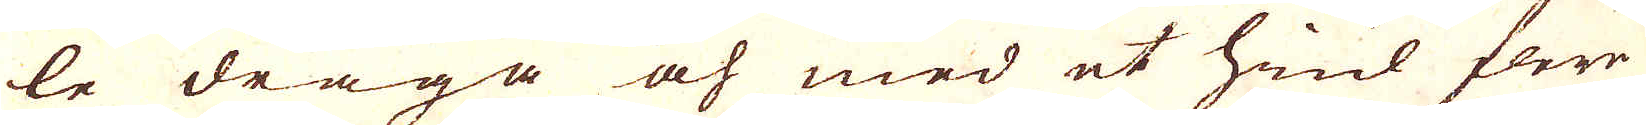le draga och med et hiul flere
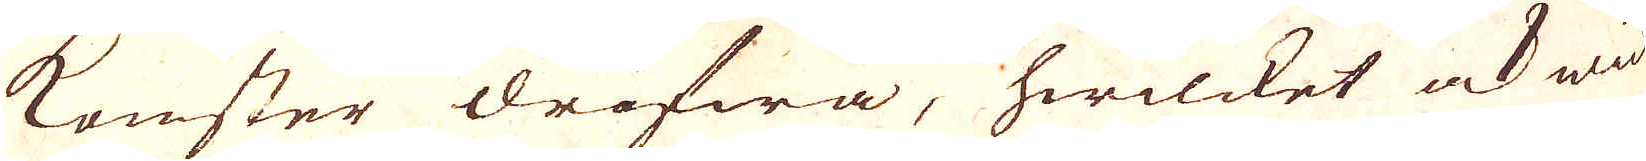konster drifwa, hwilcket ock wid
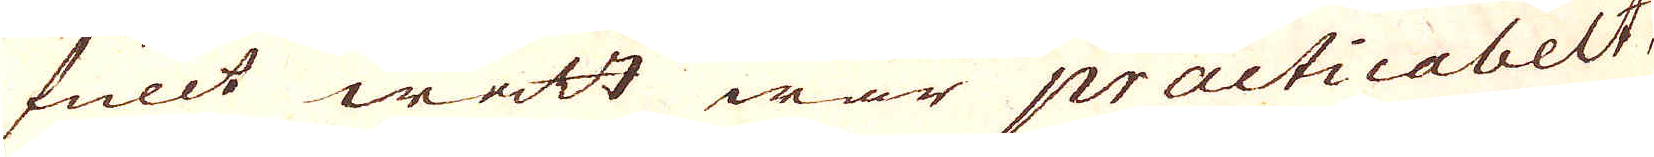fullt watt war practicabelt,
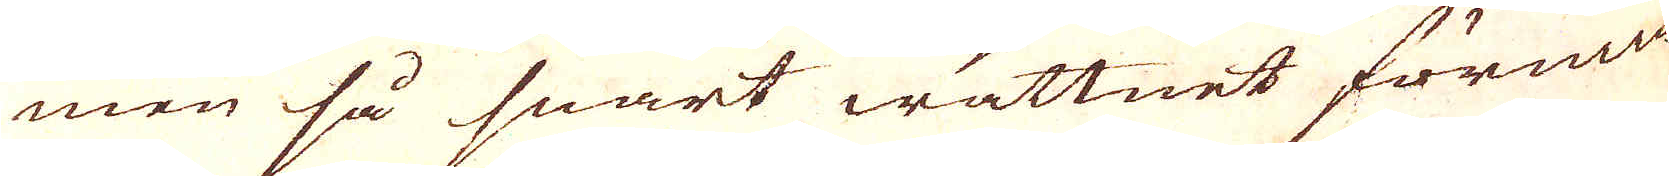men så snart wattnet förmin-
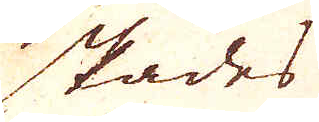skades
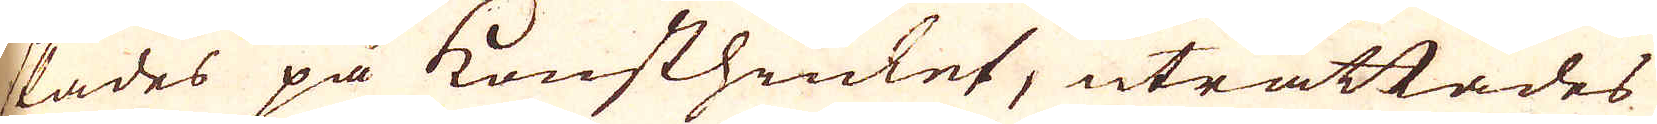skades på konsthiulet, uträttades
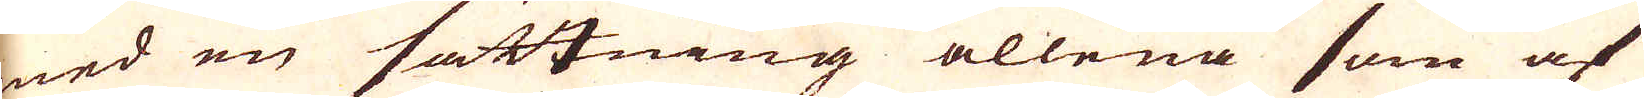med en sättning allena som af
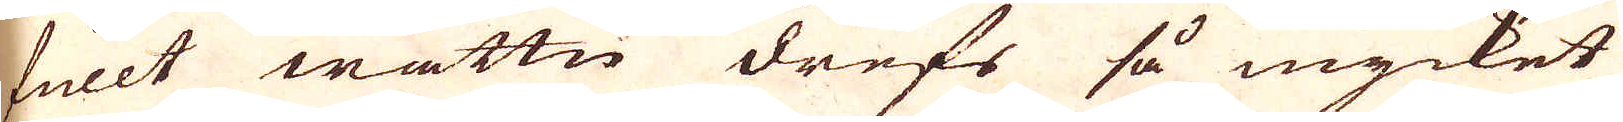fullt wattn drefs så mycket
